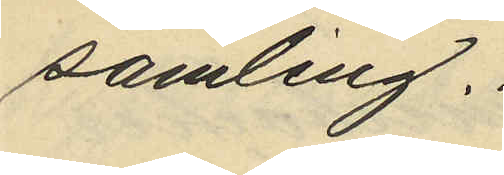samling.
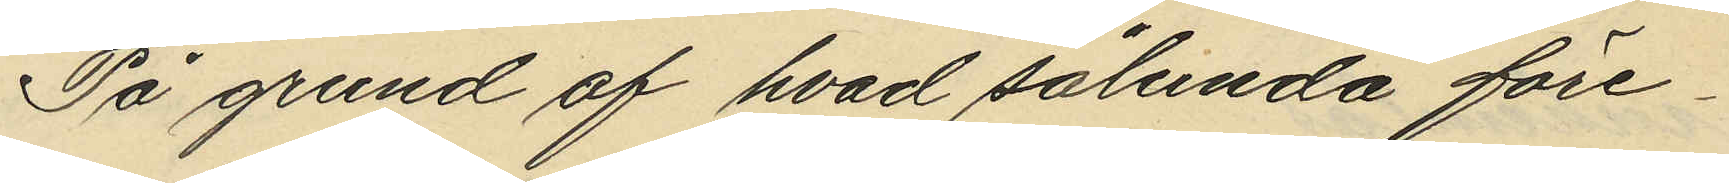På grund af hvad sålunda före¬
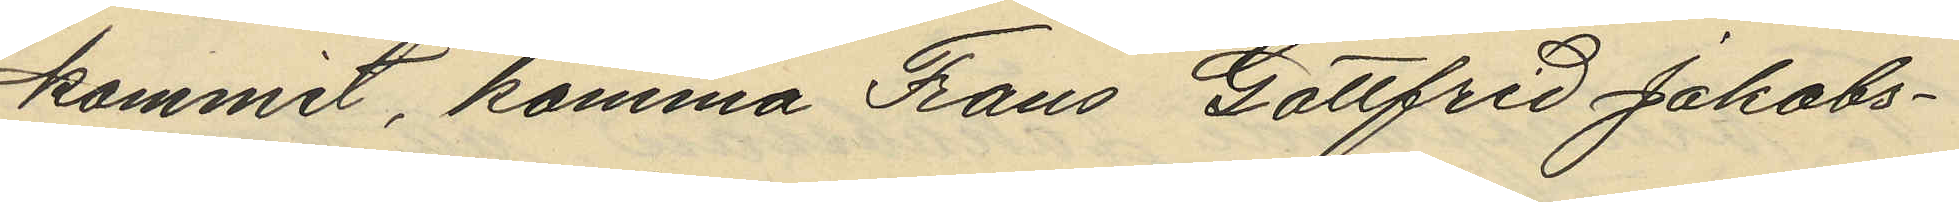kommit, komma Frans Gottfrid Jakobs¬
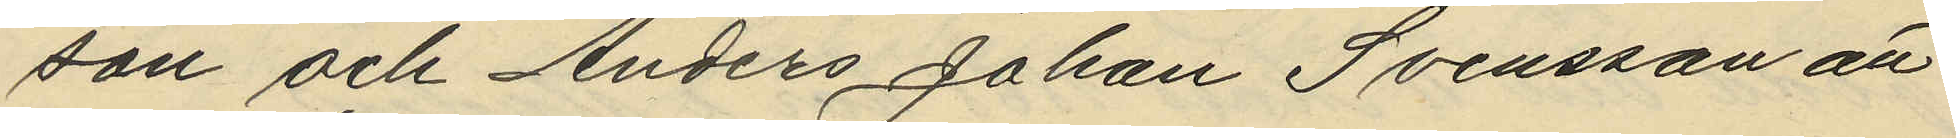son och Anders Johan Svensson att
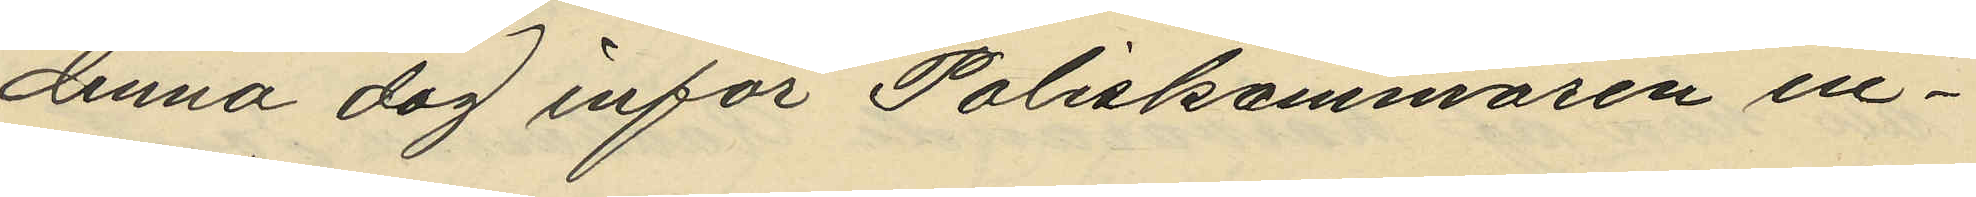denna dag inför Poliskammaren in¬
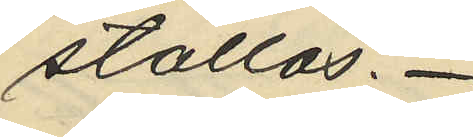ställas.
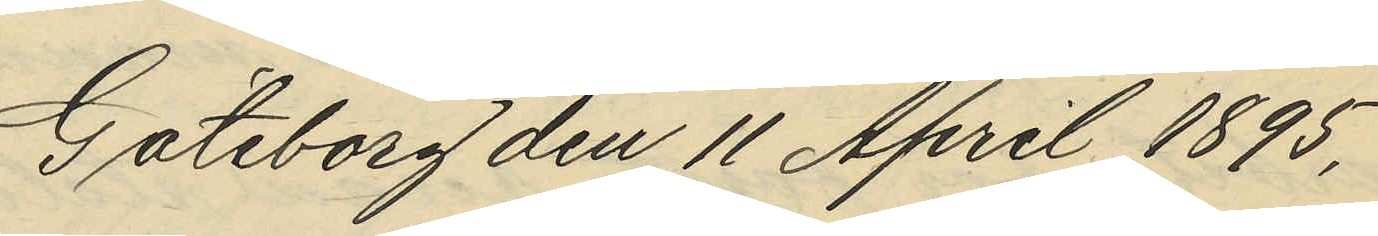Göteborg den 11 April 1895.
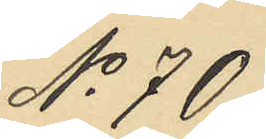No 70.
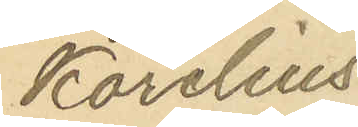Karelius
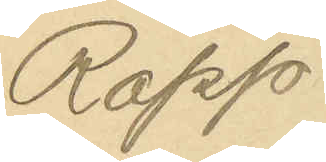Rapp
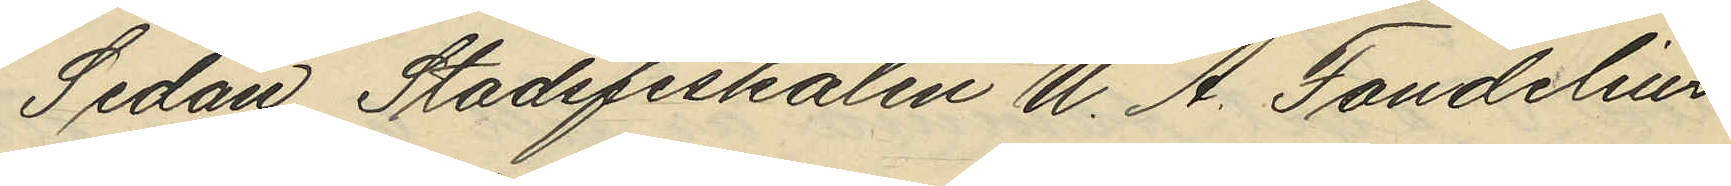Sedan Stadsfiskalen U. A. Sandelius
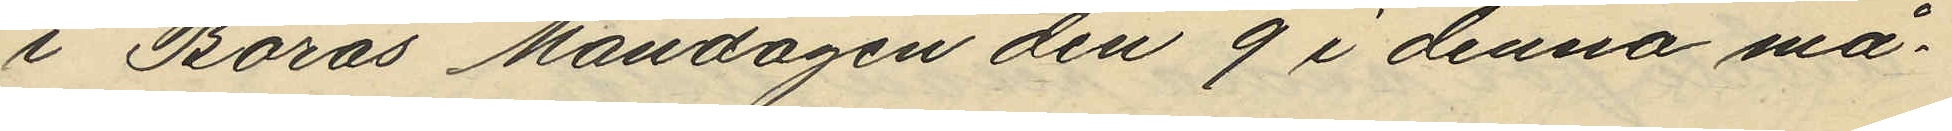i Borås Måndagen den 9 i denna må¬
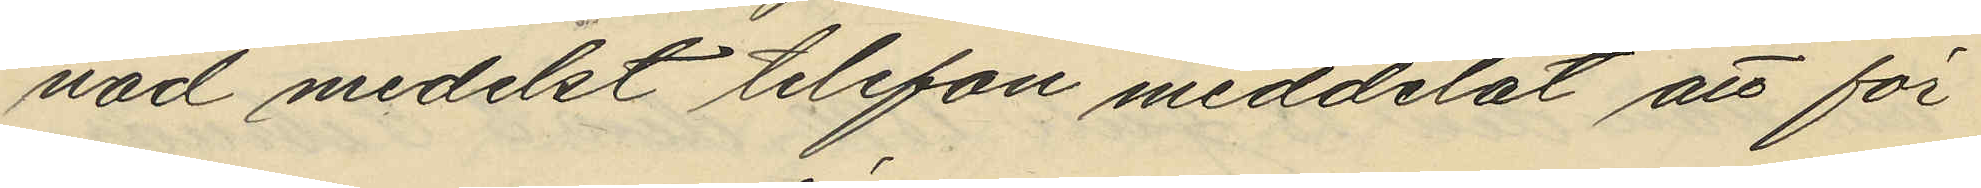nad medelst telefon meddelat att för
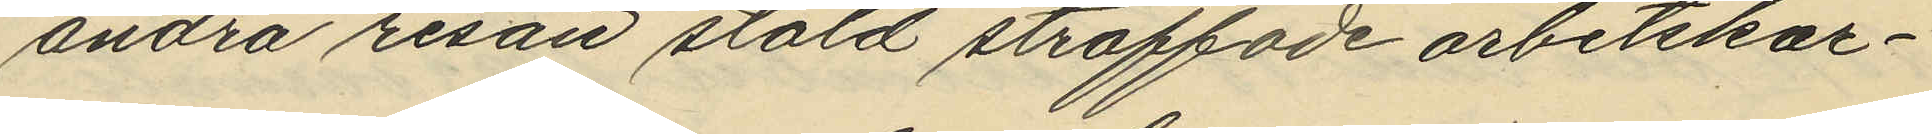andra resan stöld straffade arbetskar¬
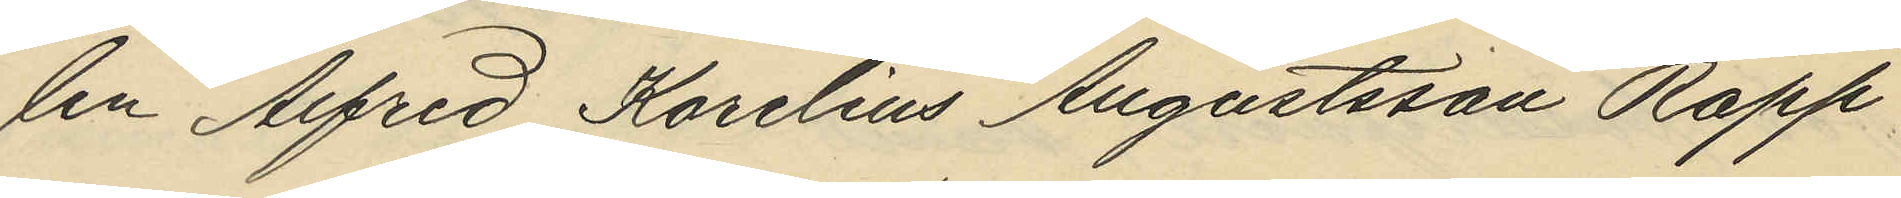len Alfred Karelius Augustsson Rapp
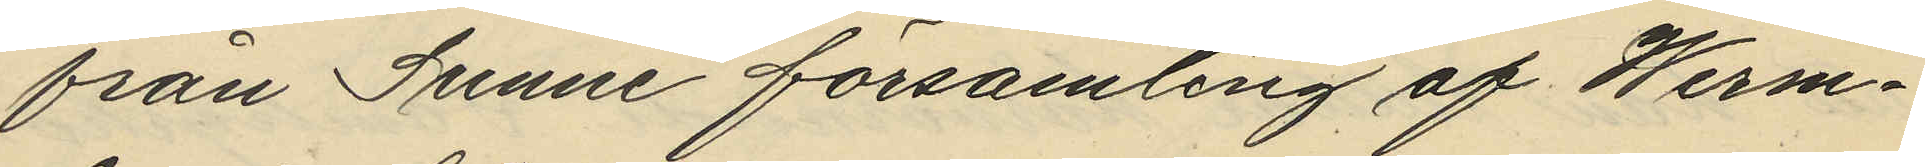från sunne församling af Werm¬
